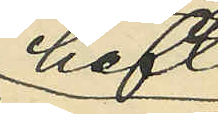haft
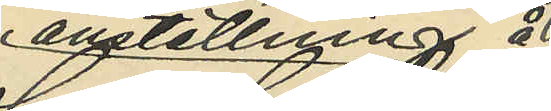anställning å
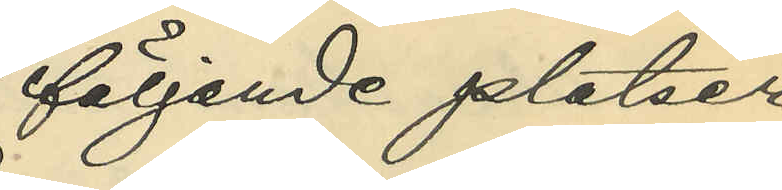följande platser
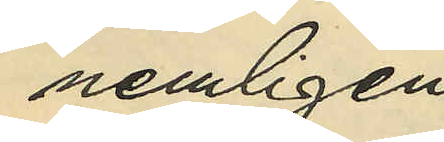nemligen:
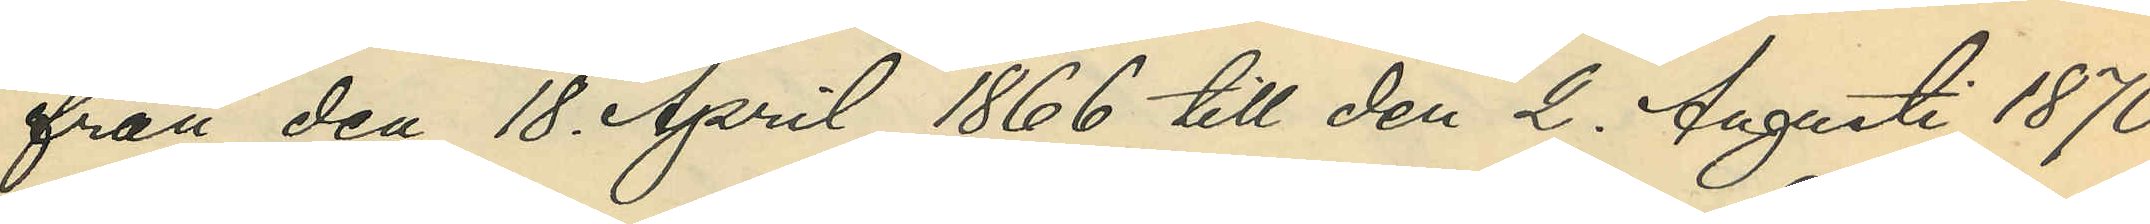från den 18. April 1866 till den 2. Augusti 1870 
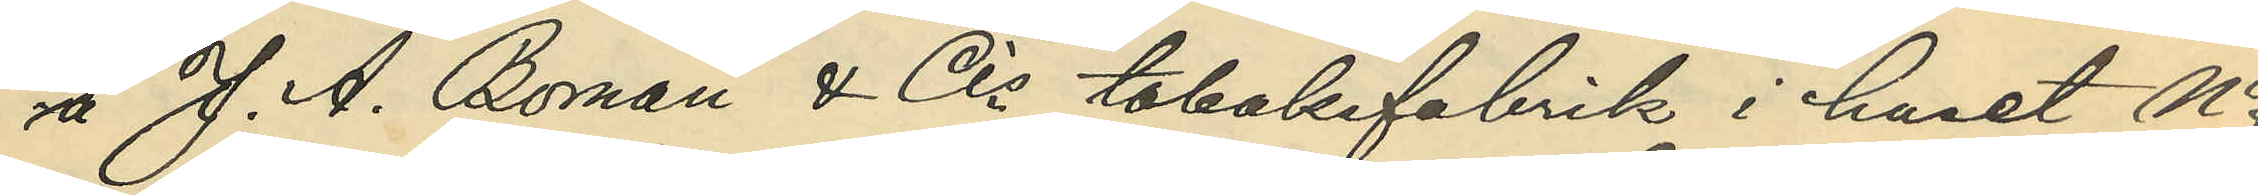å J. A. Boman & Cis tobaksfabrik i huset No
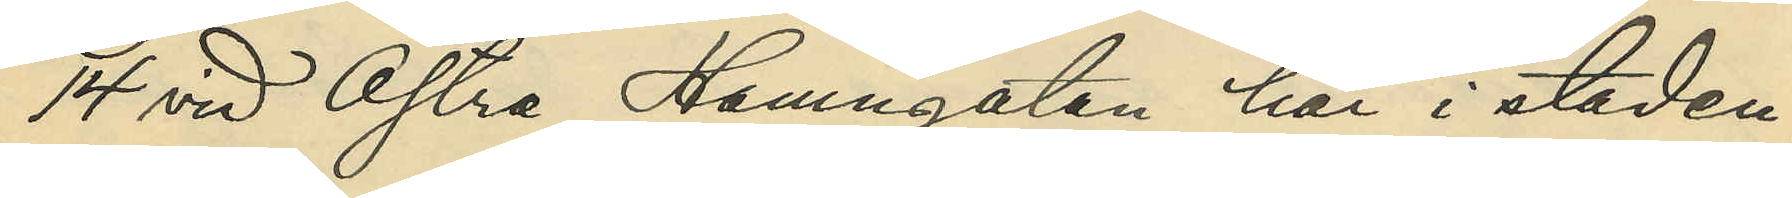14 vid Östra Hamngatan här i staden;
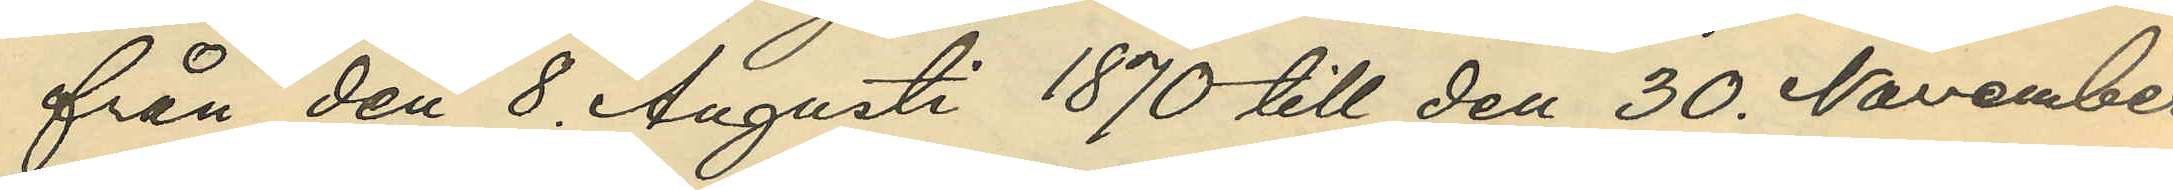från den 8. Augusti 1870 till den 30. November
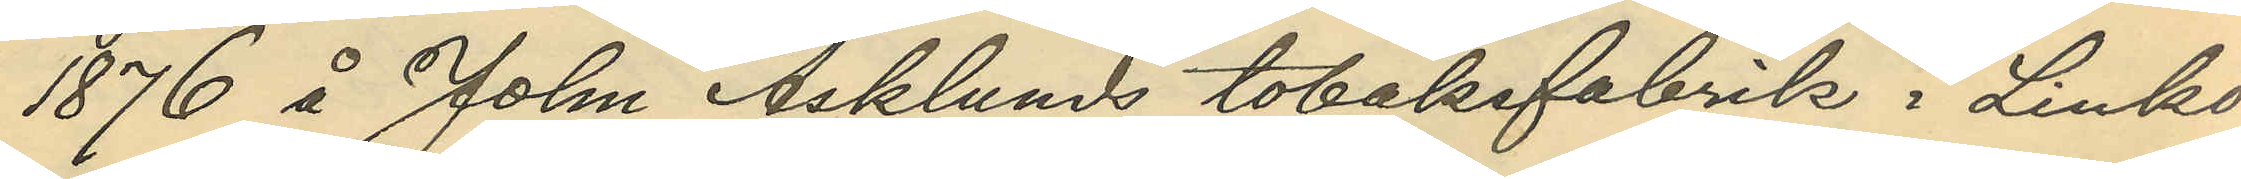1876 å John Asklunds tobaksfabrik i Linkö¬
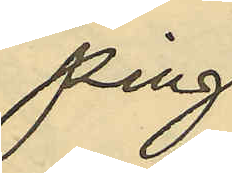ping;
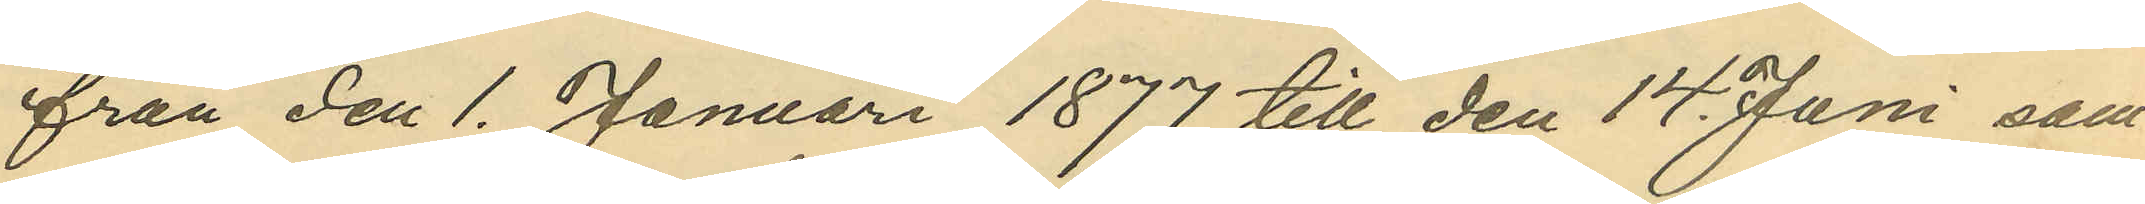från den 1. Januari 1877 till den 14. Juni sam¬
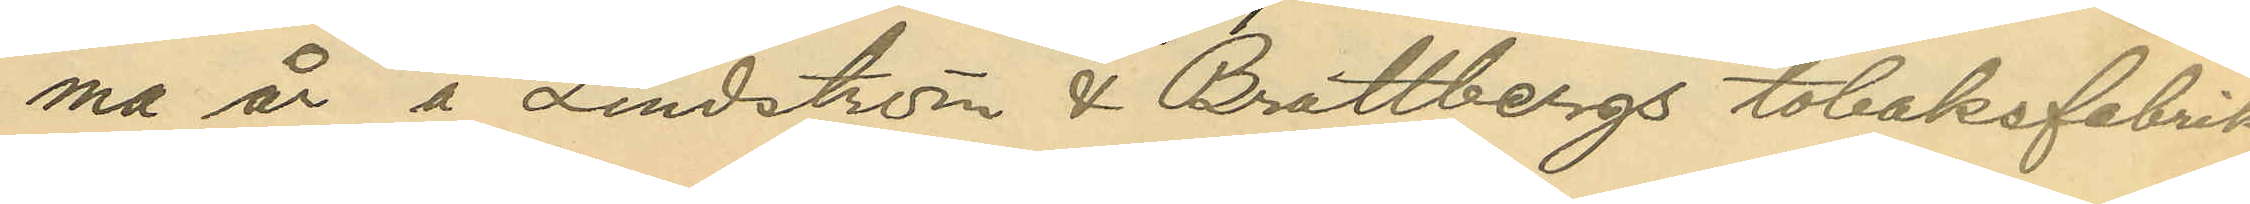ma år å Lindström & Brattbergs tobaksfabrik
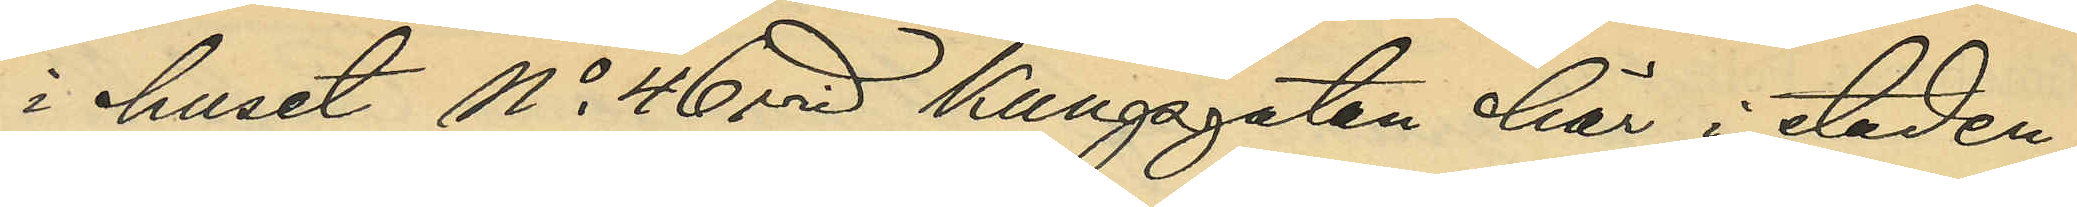i huset No 46 vid Kungsgatan här i staden;
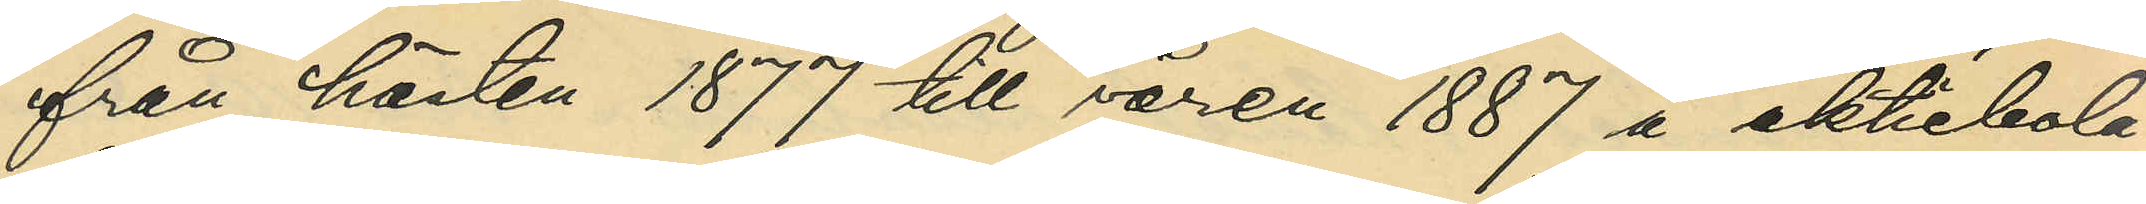från hösten 1877 till våren 1887 å aktiebola¬
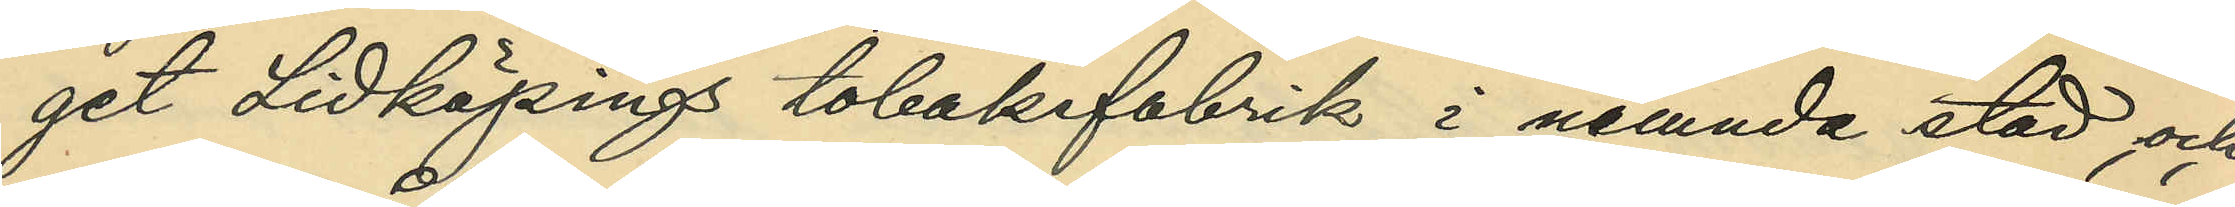get Lidköpings tobaksfabrik i nämnda stad, och
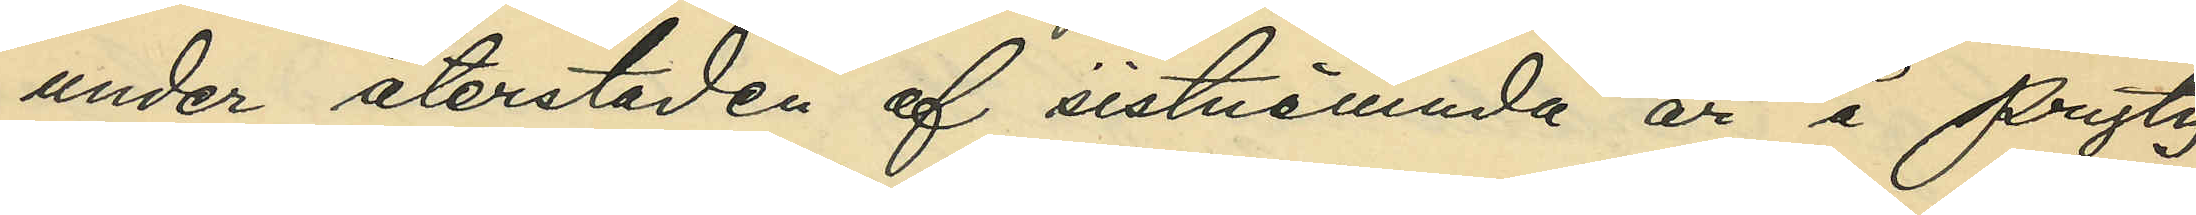under återstoden af sistnämnda år å Prytz
